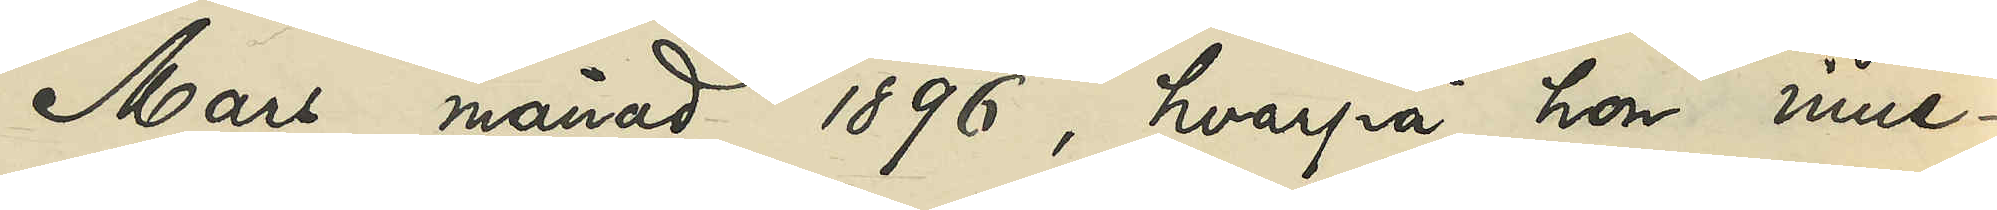Mars månad 1896, hvarpå hon inne¬
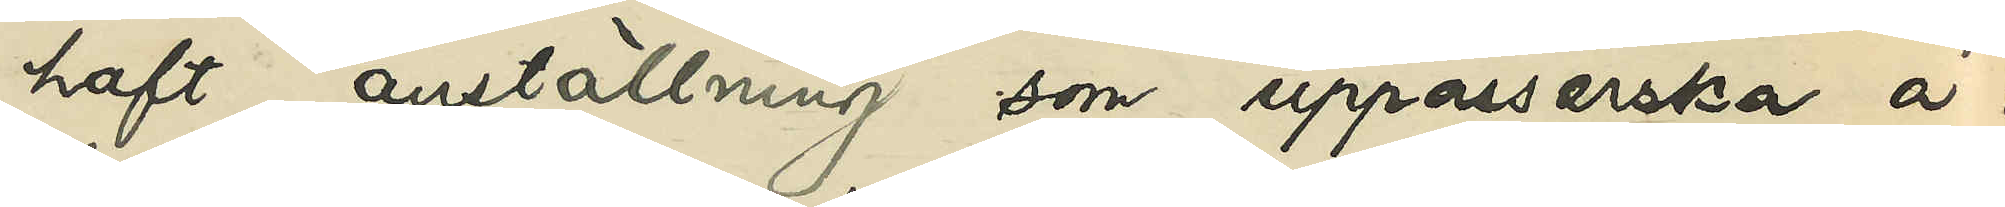haft anställning som uppasserska å i
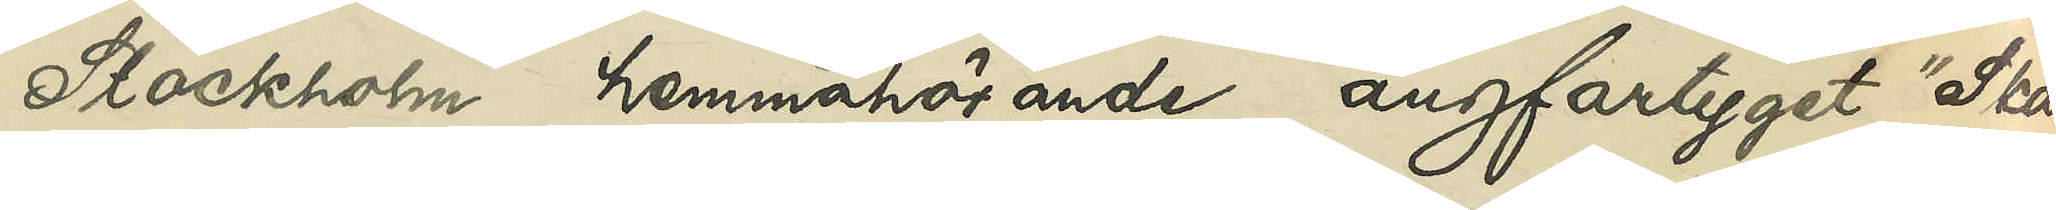Stockholm hemmahörande ångfartyget "Skan¬
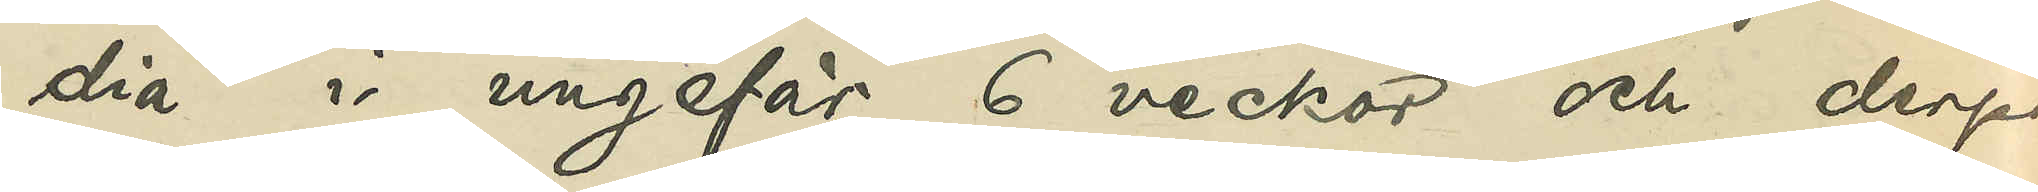dia" i ungefär 6 veckor och derpå
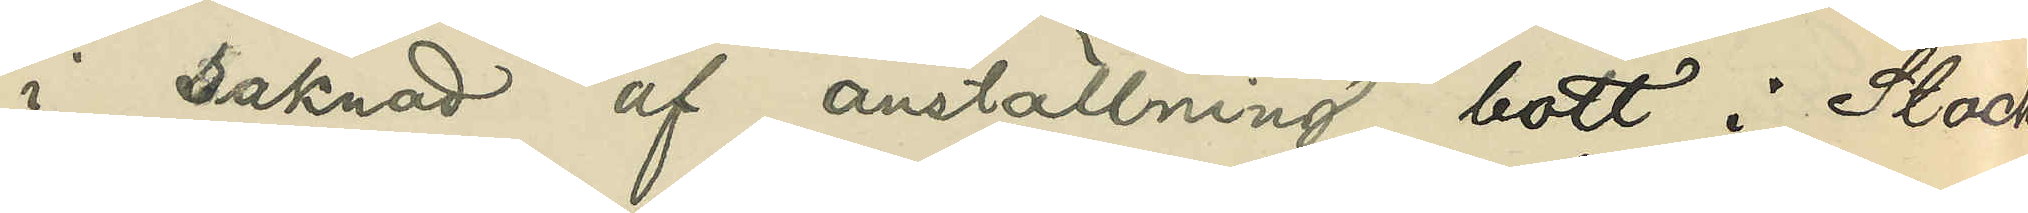i saknad af anställning bott i Stock¬
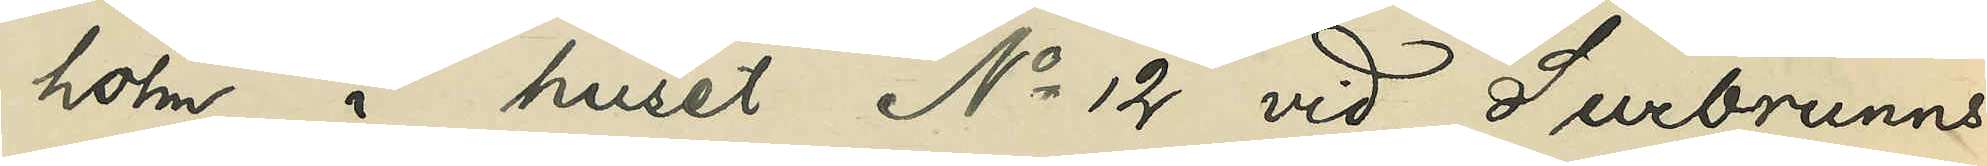holm i huset No 12 vid Surbrunns¬
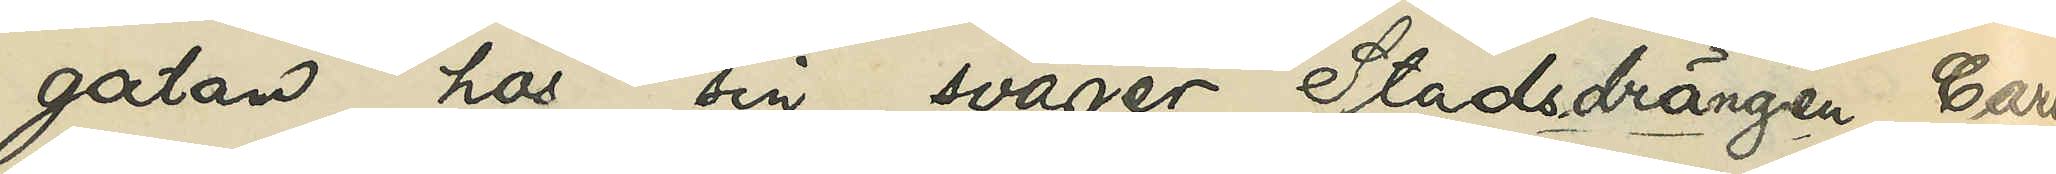gatan hos sin svåger, Stadsdrängen Carl
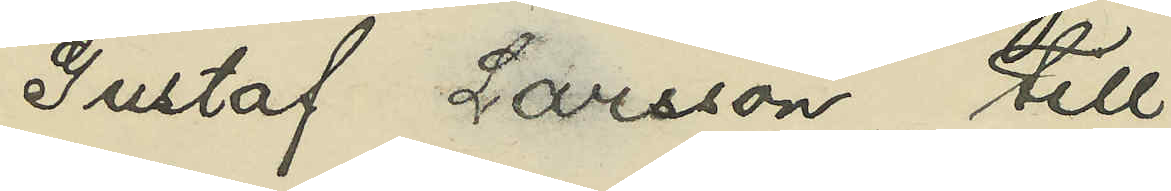Gustaf Larsson, till
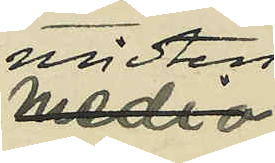midten
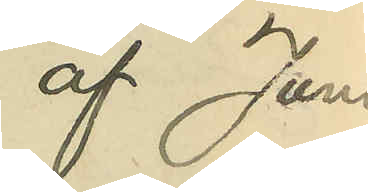af Juni
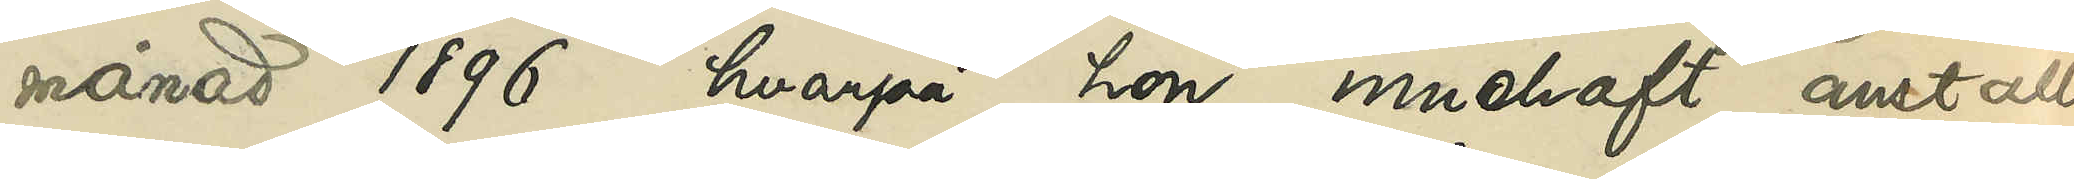månad 1896, hvarpå hon innehaft anställ¬
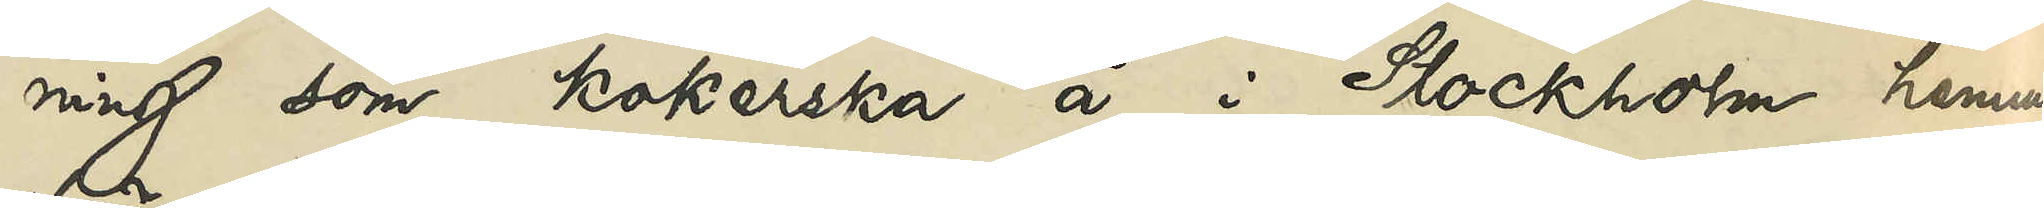ning som kokerska å i Stockholm hemma¬
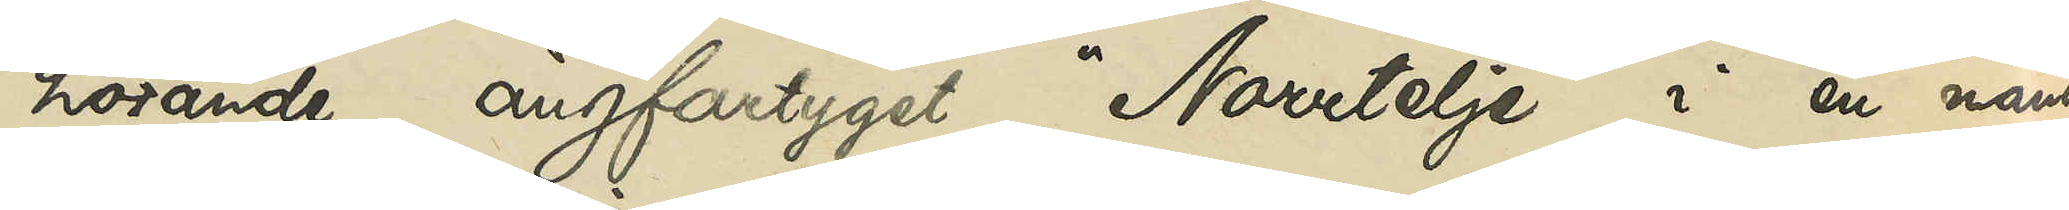hörande ångfartyget "Norrtelje" i en månad
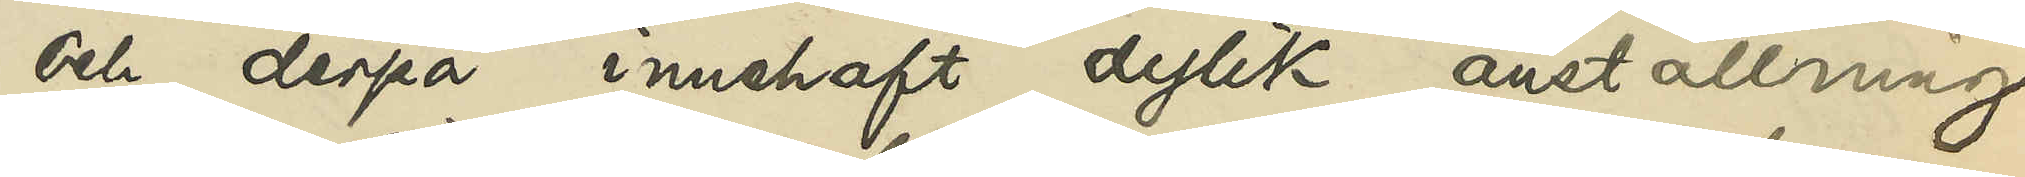och derpå innehaft dylik anställning
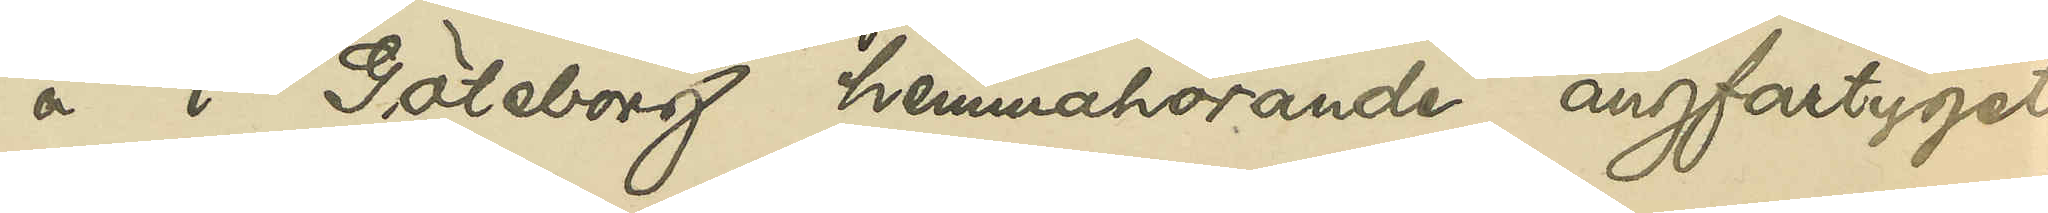å i Göteborg hemmahörande ångfartyget
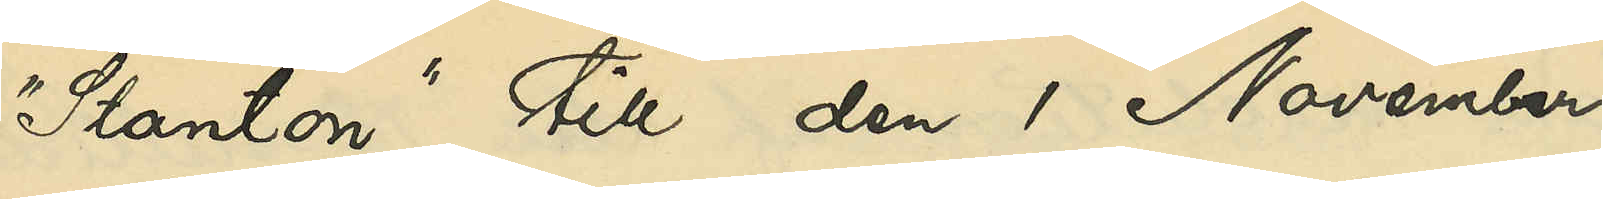"Stanton" till den 1 November
